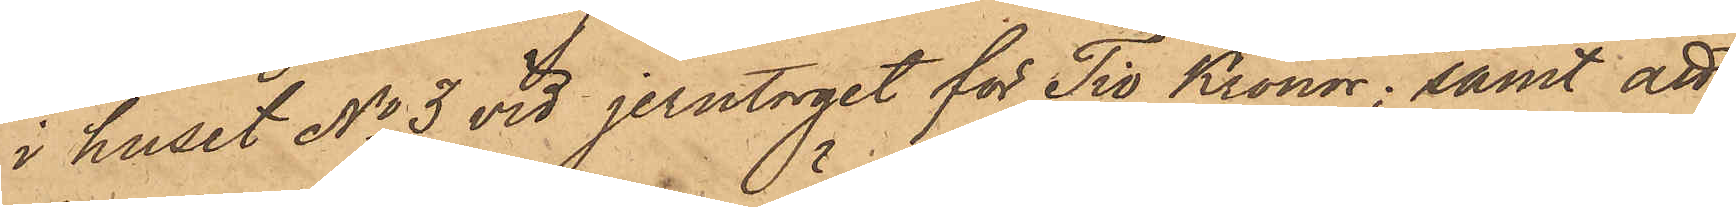i huset No 3 vid Jerntorget för Tio Kronor; samt att
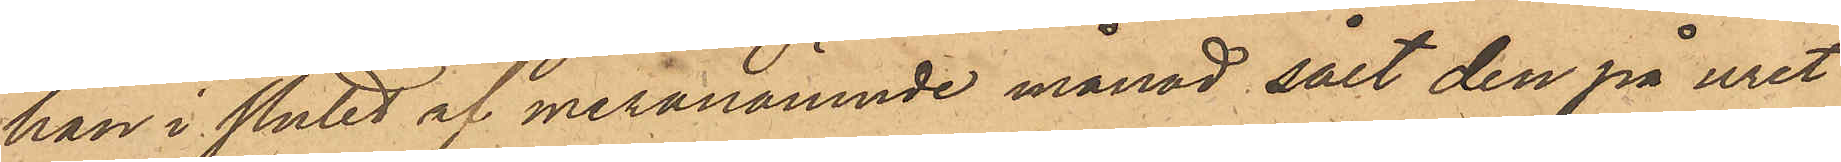han i slutet af meranämnde månad sålt den på uret
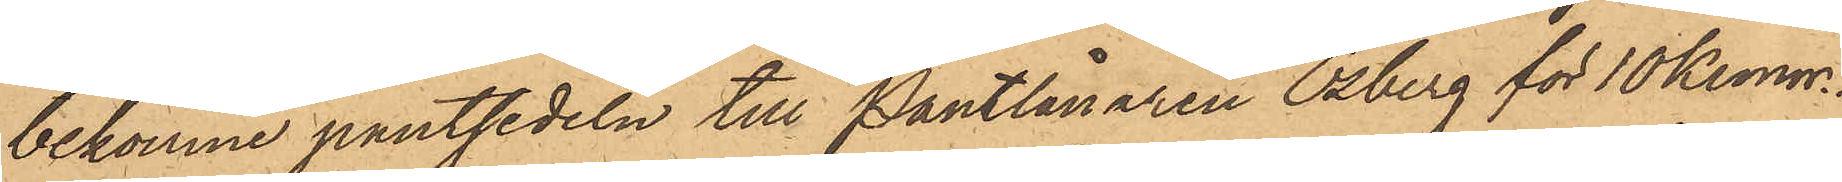bekomne pantsedeln till Pantlånaren Osberg för 10 Kronor.
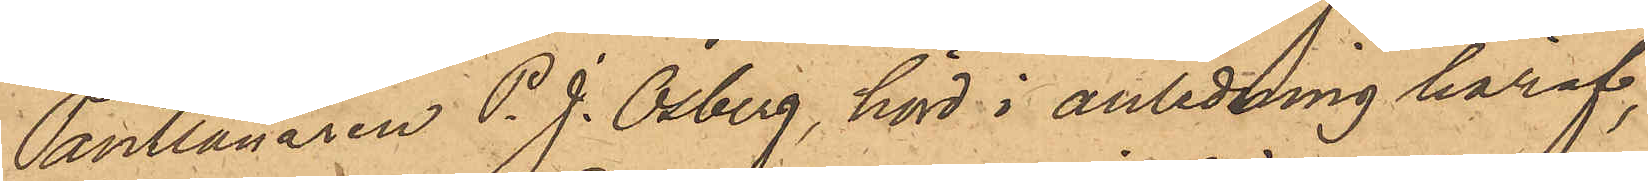Pantlånaren P. J. Osberg, hörd i anledning häraf,
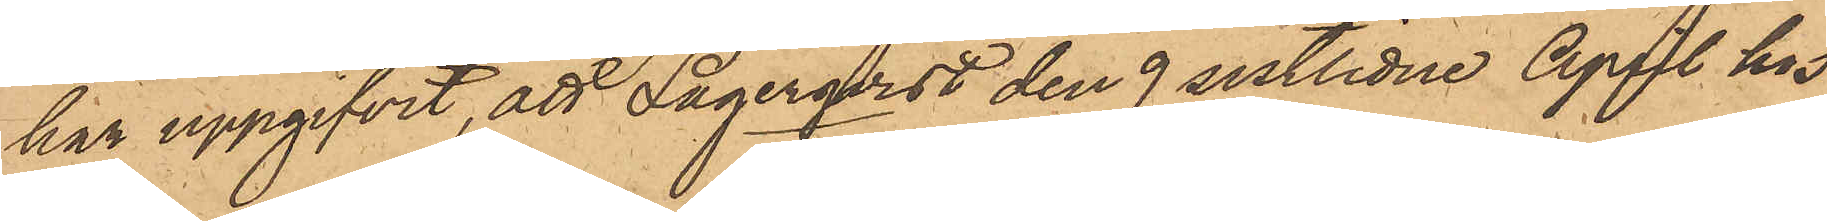har uppgifvit, att Lagerqvist den 9 sistlidne April hos
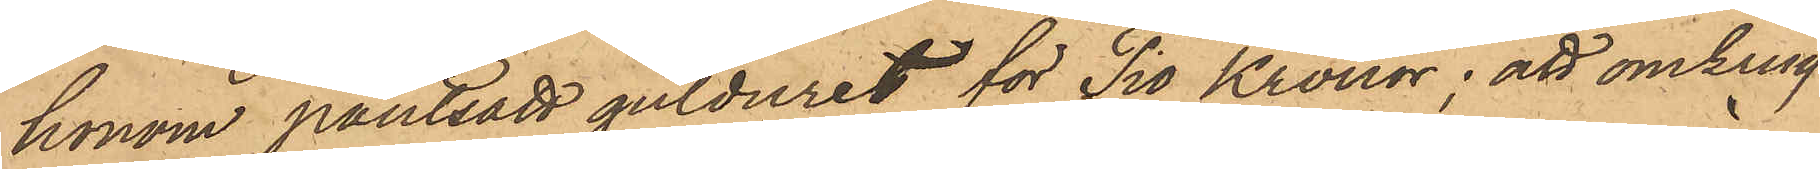honom pantsatt gulduret för Tio Kronor; att omkring
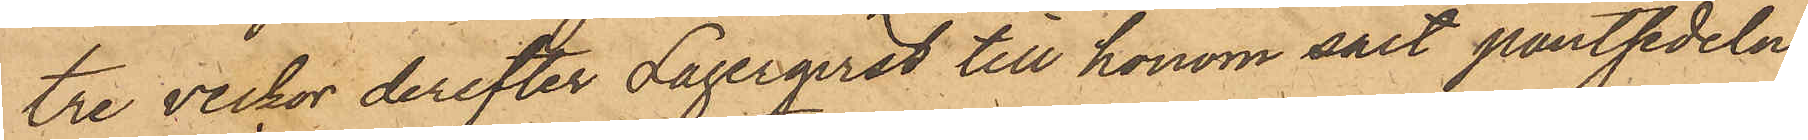tre veckor derefter Lagerqvist till honom sålt pantsedeln
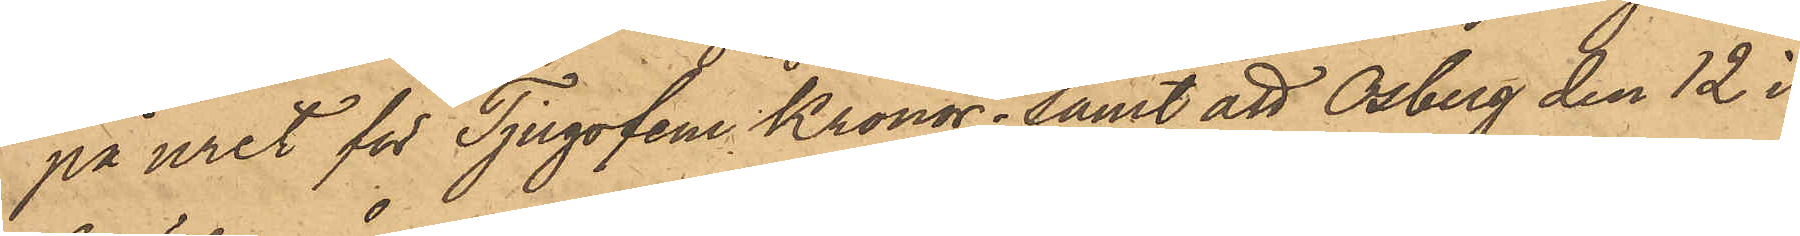på uret för Tjugofem Kronor; samt att Osberg den 12 i
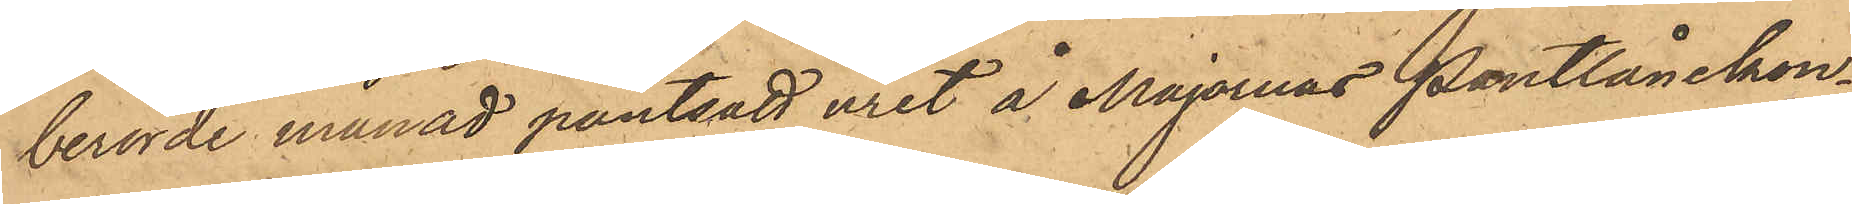berörde månad pantsatt uret å Majornas Pantlånekon¬
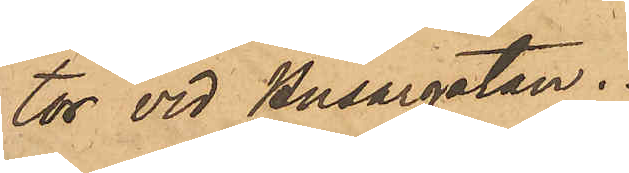tor vid Husargatan.
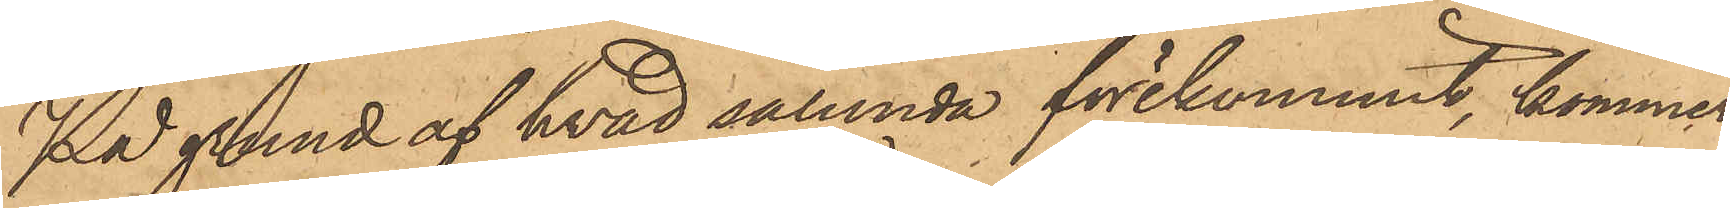På grund af hvad sålunda förekommit, kommer
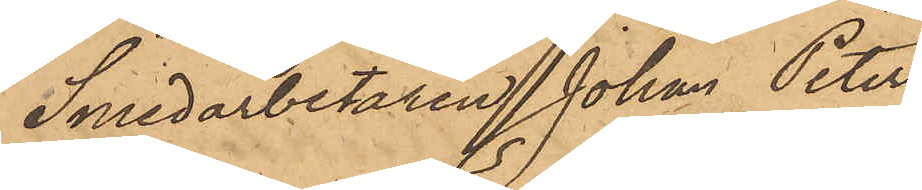Smedarbetaren Johan Peter
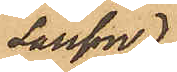Larsson.
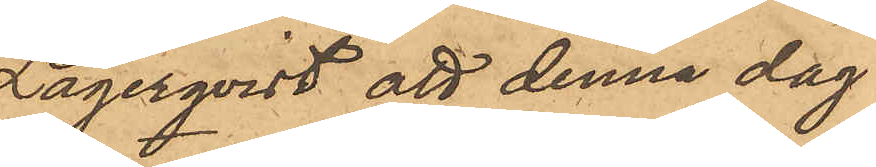Lagerqvist att denna dag
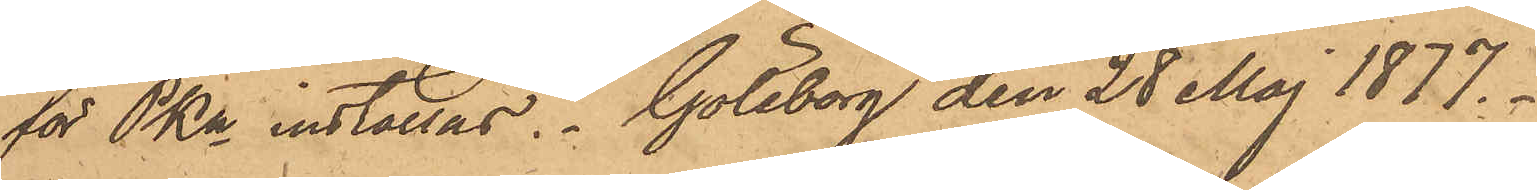för PKn inställas. Göteborg den 28 Maj 1877.
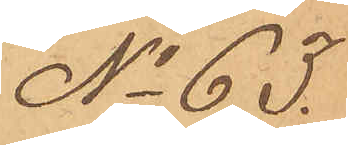No 63.
